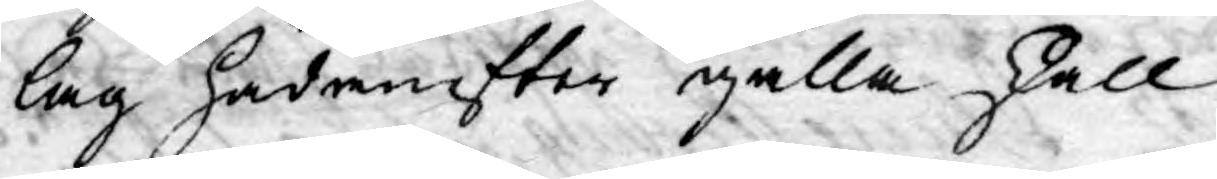lag hädanefter gälla skall
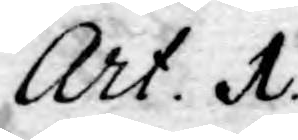Art. A.
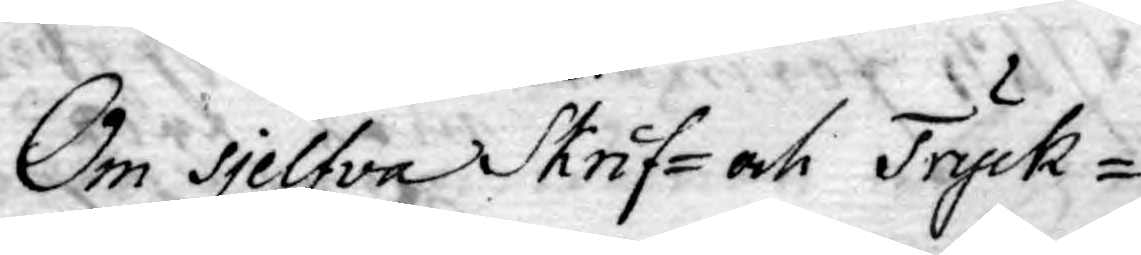Om Sielfva Skrif- och Tryck¬
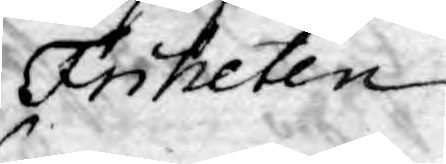Friheten
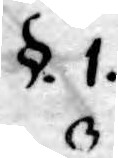§.1.
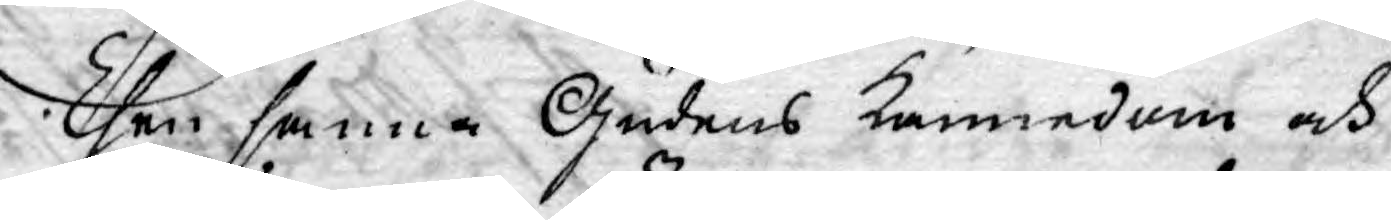Then sanna Gudens kännedom och
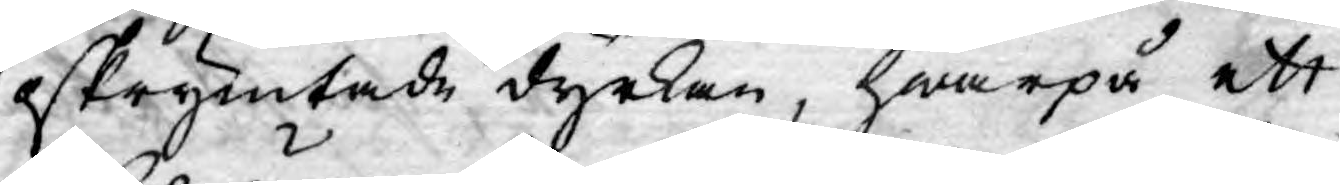oskrymtade dyrkan, hwarpå ett
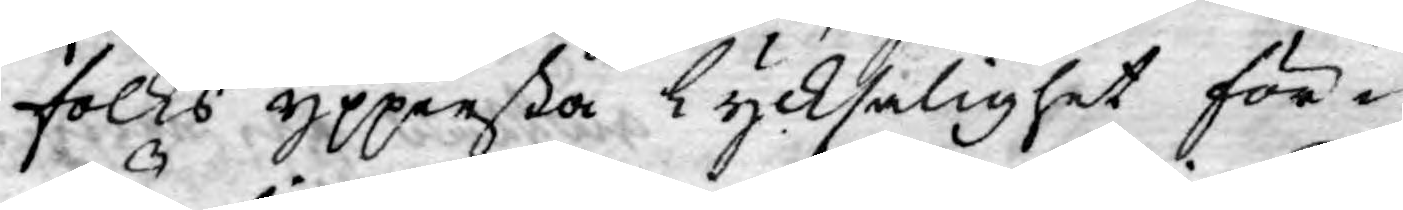folks yppersta lycksalighet för¬
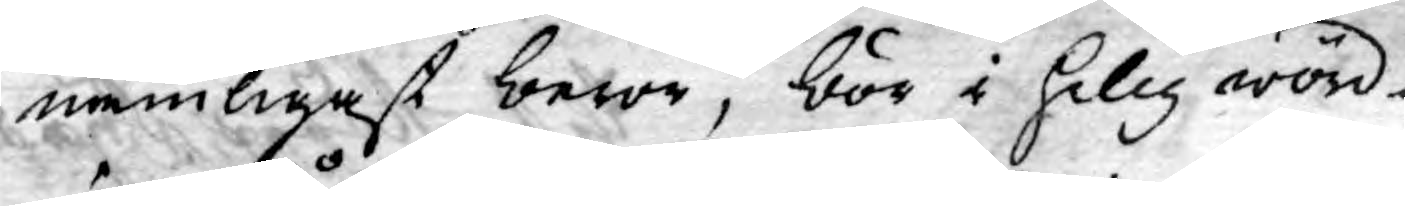nämligast beror, bör i helig wörd¬
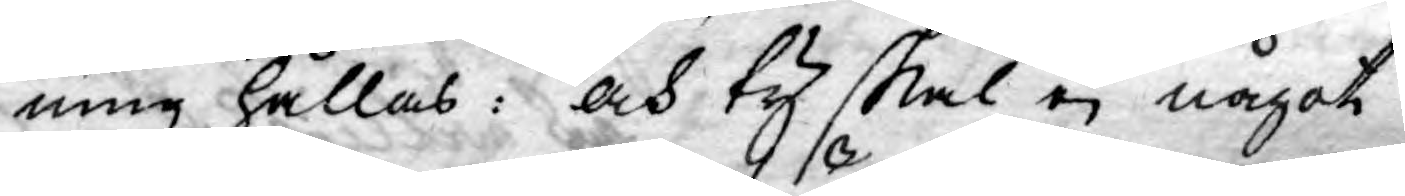ning hållas: och ty skal ej något
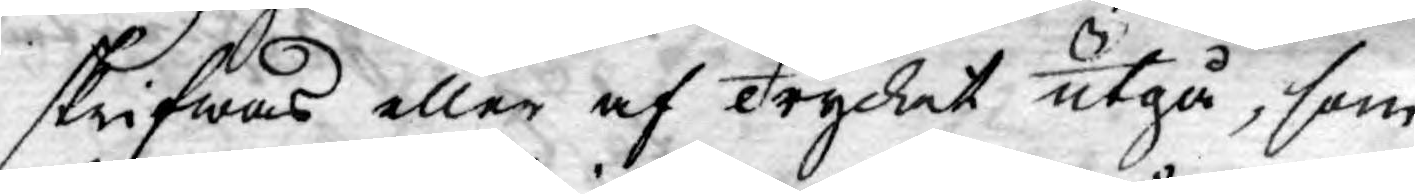skrifwas eller af Trycket utgå, som
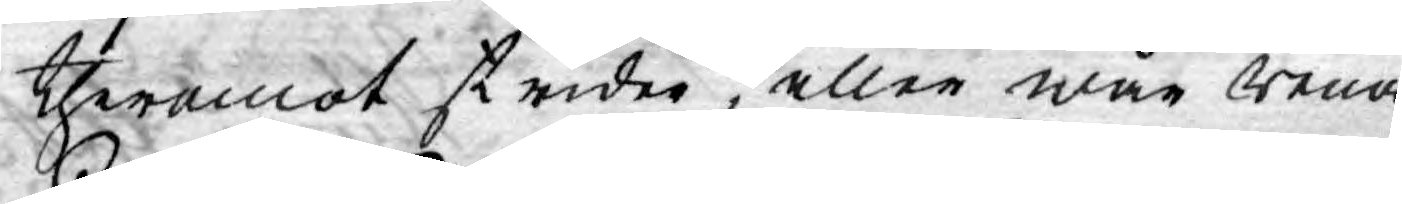theremot strider, eller wår rena
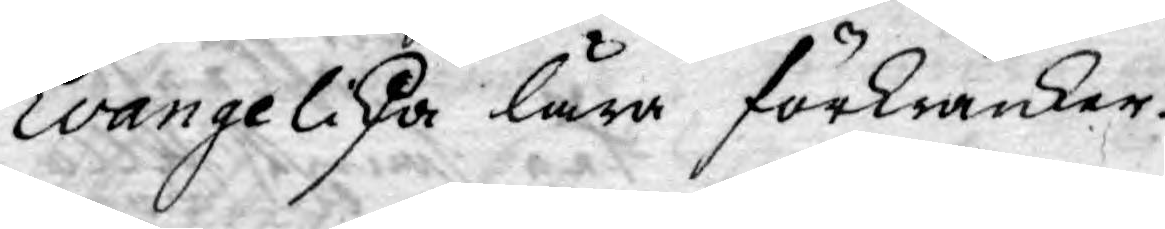Evangeliska lära förkränker.
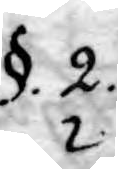§. 2.
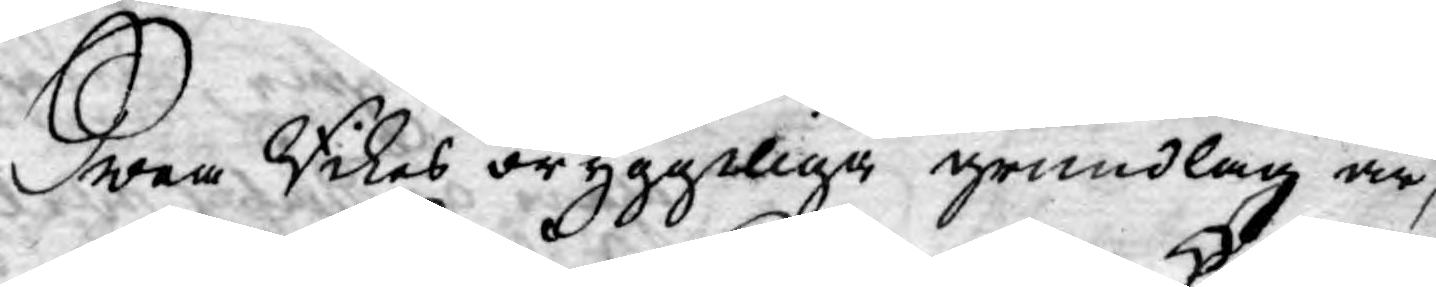Swea Rikes oryggeliga grundlag är,
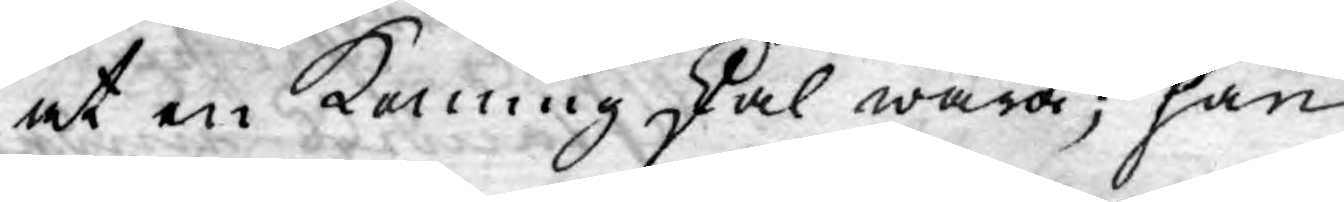at en Konung skal wara; han
